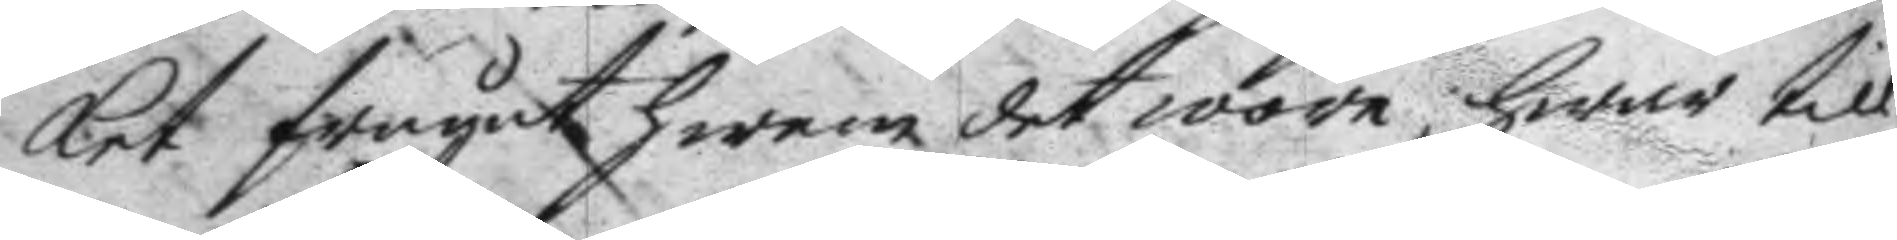ket frågat hwem det wore, hwar till
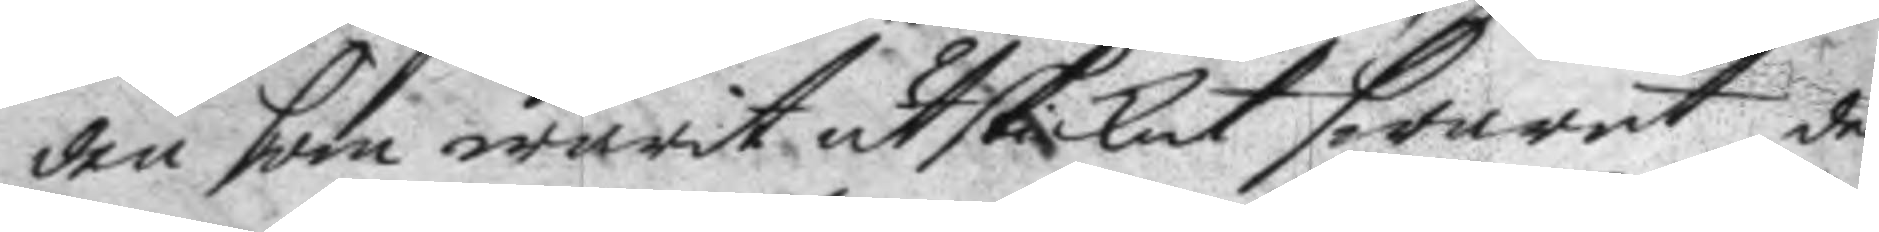den som warit utskickat swarat, det
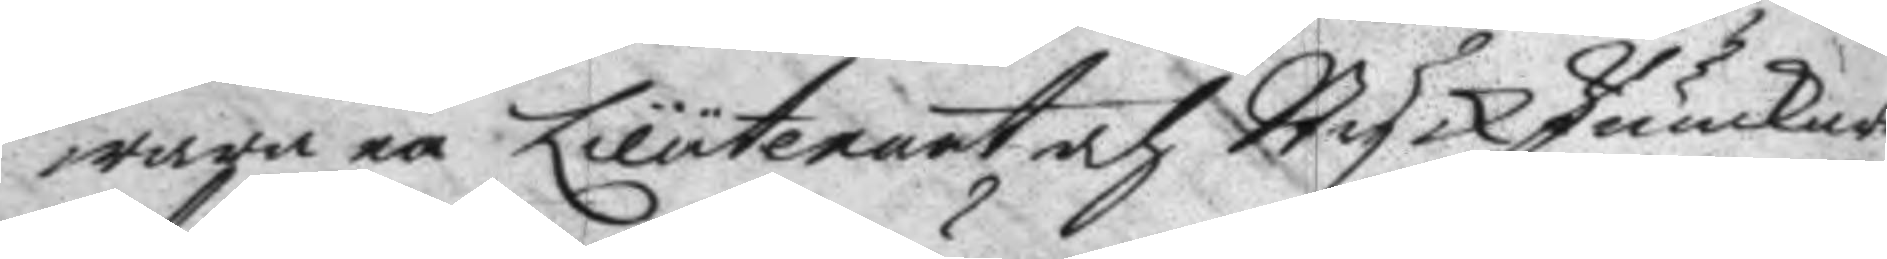wara en Lieutenant och StyckJunkare
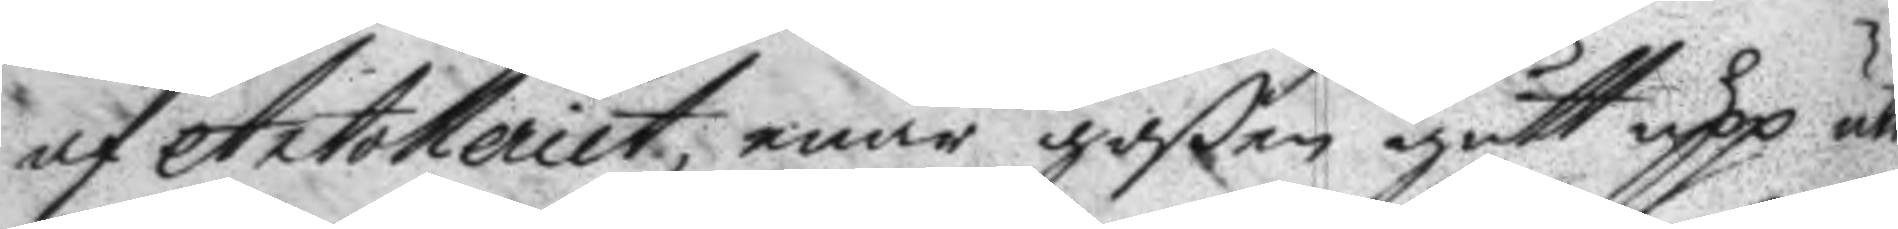af Artolleriet, enär goßen gott upp uti
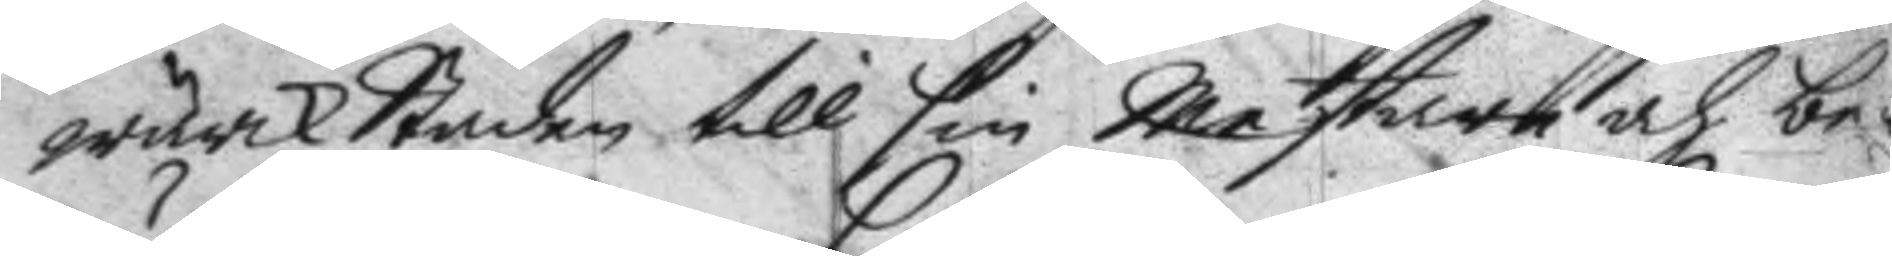wärkstaden till sin Mestare och be¬
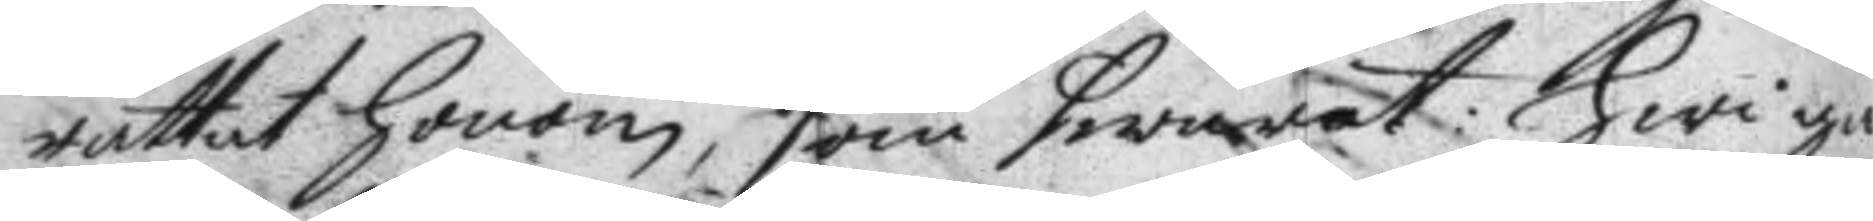rättat honom, som swarat: Hwi gå
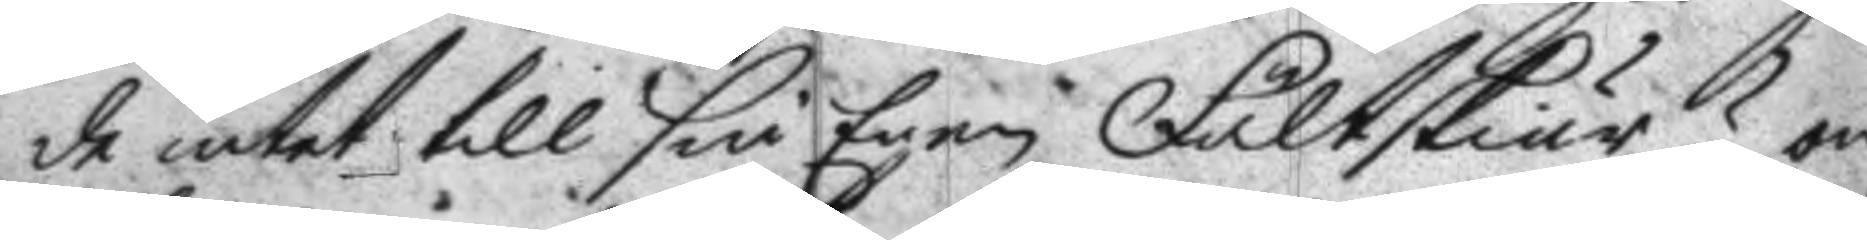de intet till sin Egen Fältskiär? om
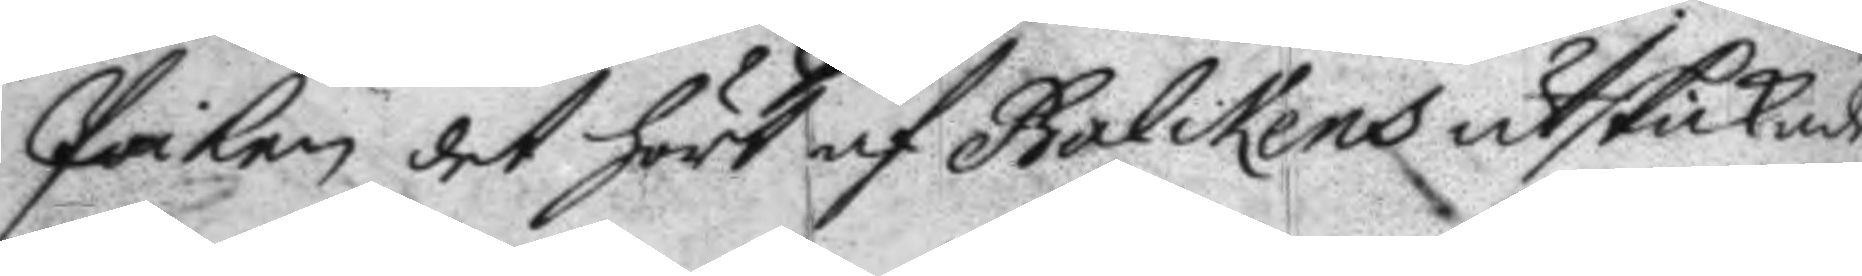Poiken det hört af Balckens utskickade
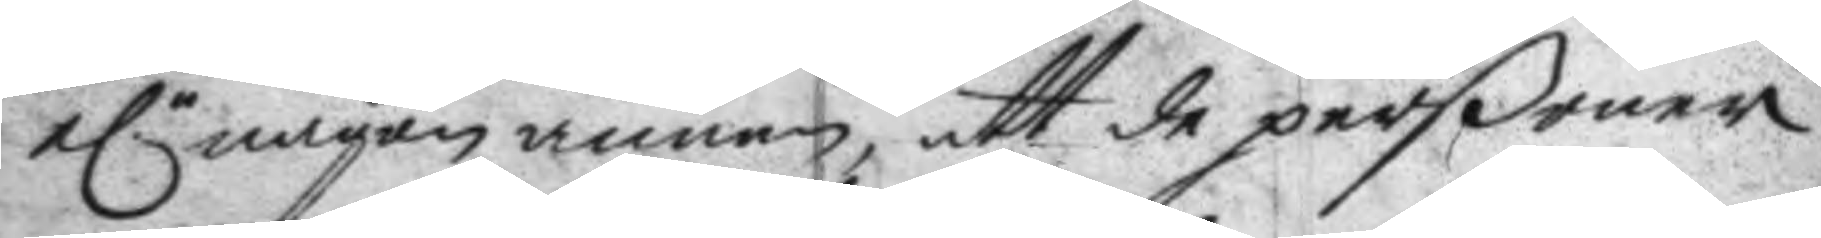elr någon annan, att de perßoner 
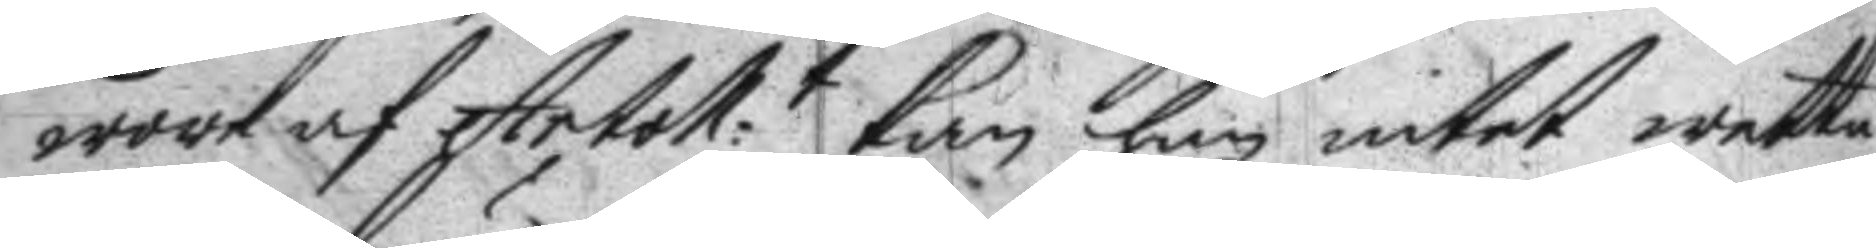wore af Artoll:t kan han intet wetta 
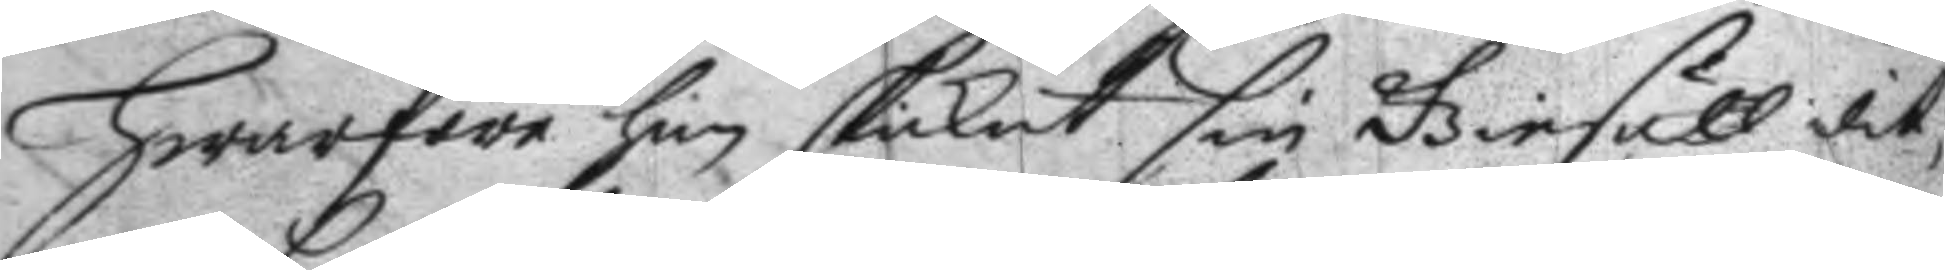Hwarföre han skickat sin Giesäll dit,
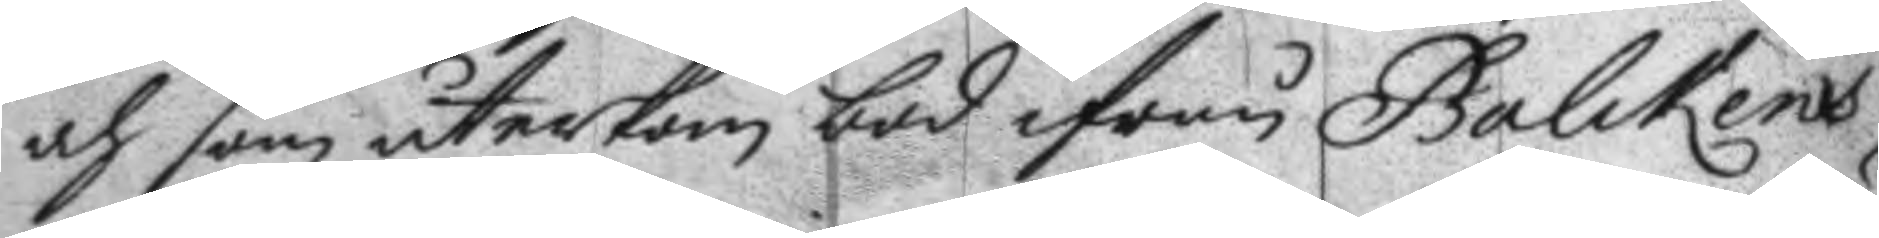och som återkom bad ifrån Balckens
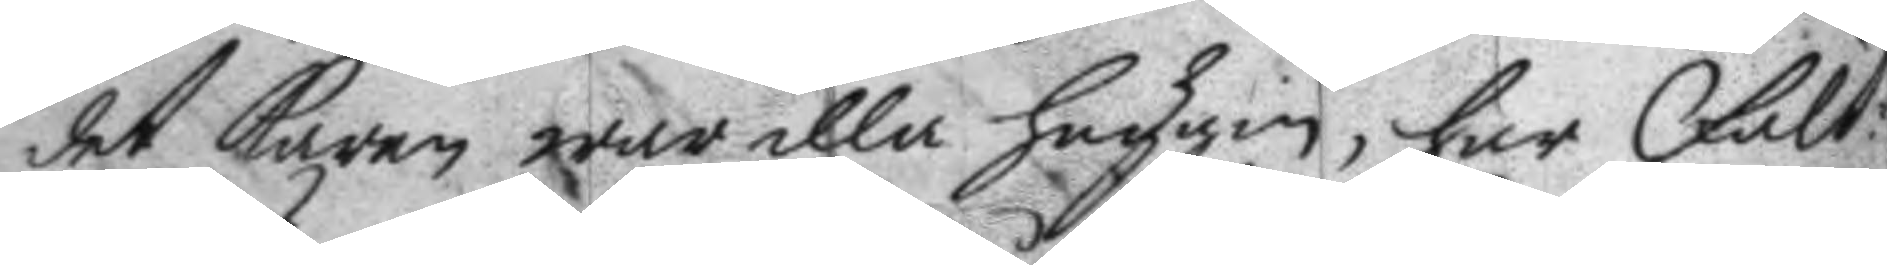det karen war illa huggin, har Fält¬
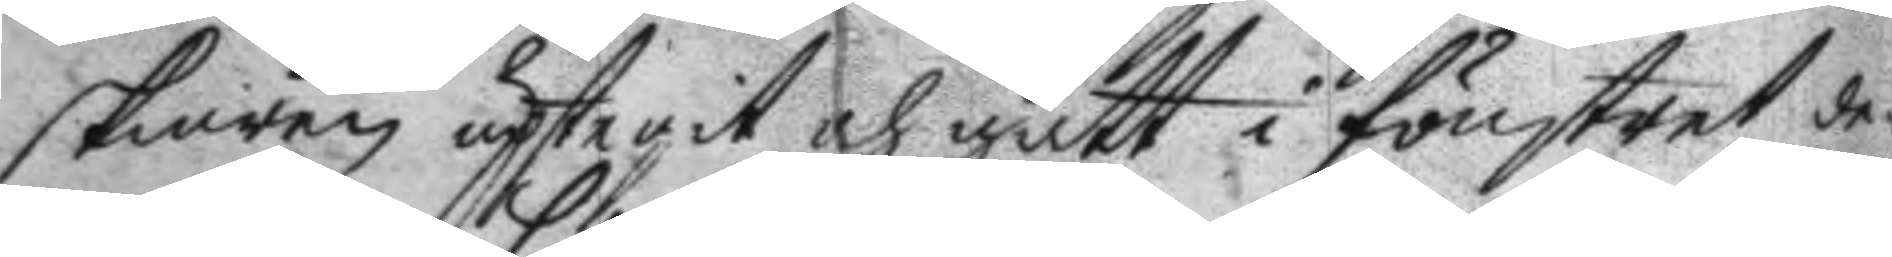skiären uptegit och gått i fönstret de¬
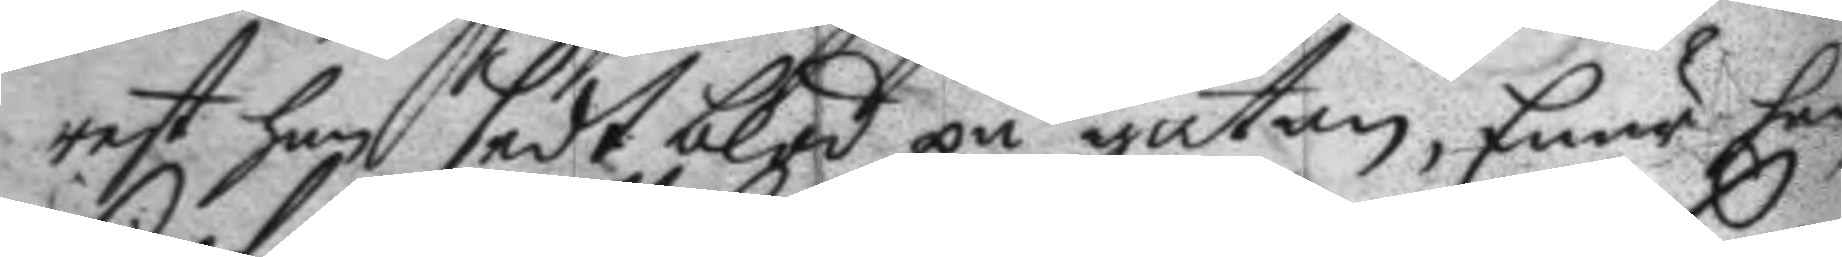rest han sedt blod på gatan, Enär han
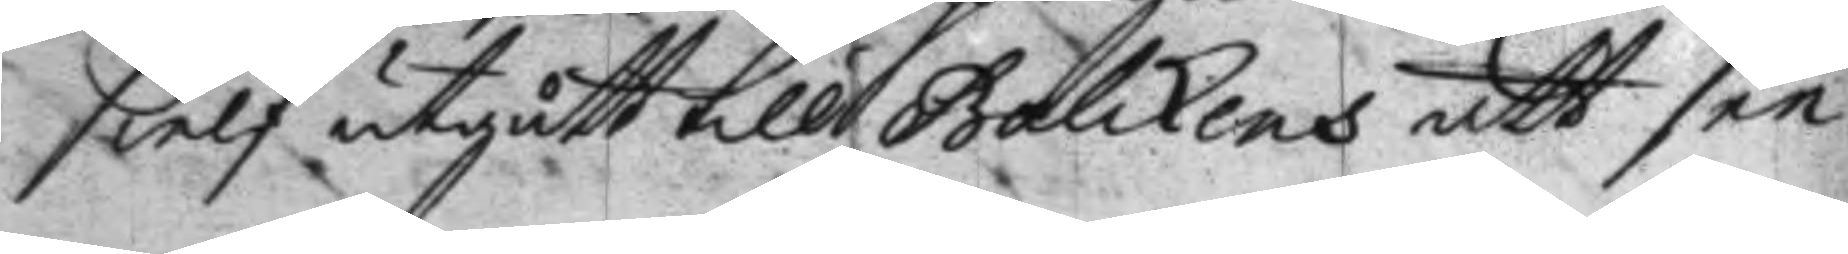sielf utgått till Balckens att see
